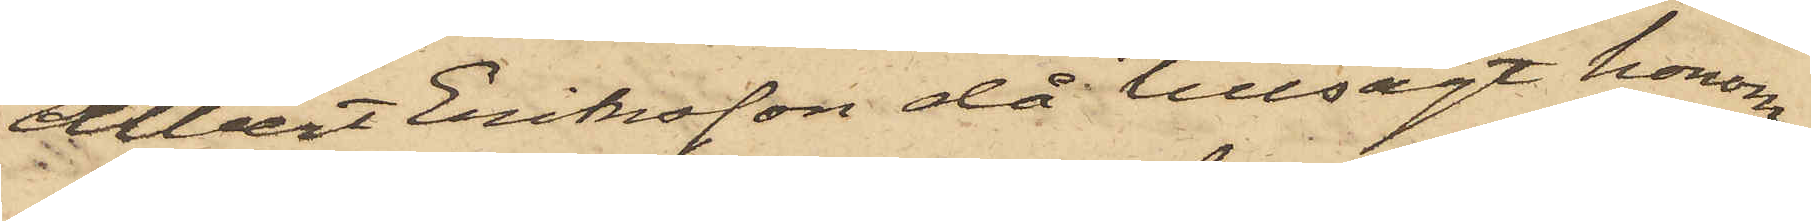Albert Eriksson då tillsagt honom
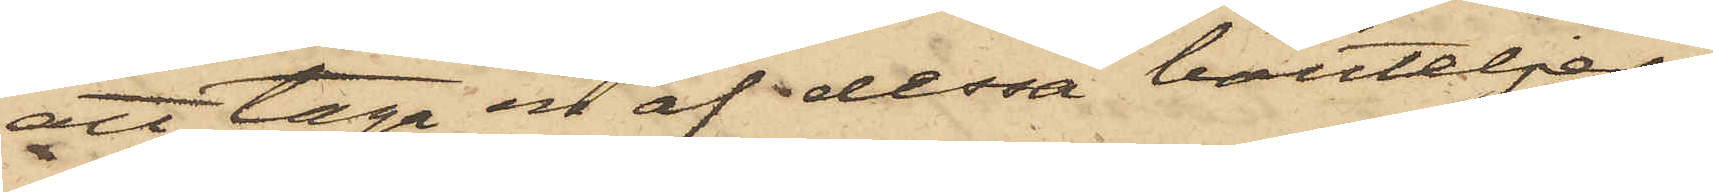att taga en af dessa bouteljer,
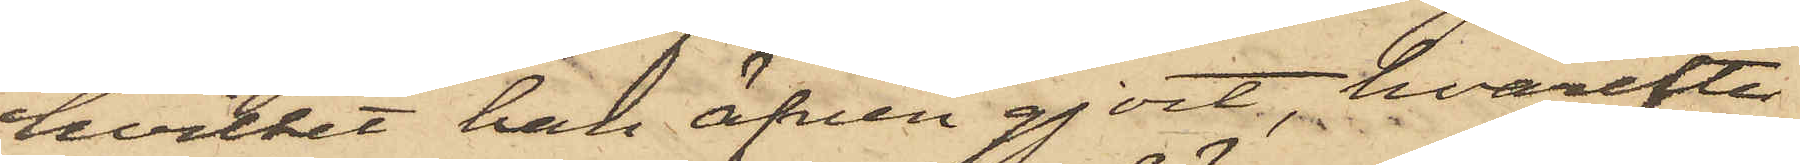hvilket han äfven gjort, hvarefter
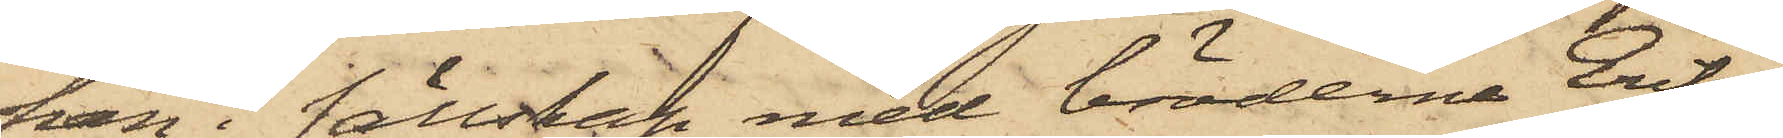han i sällskap med bröderna Eriks¬
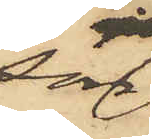son
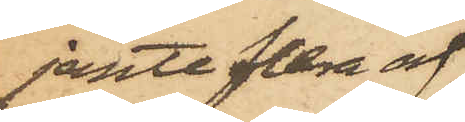jemte flera af
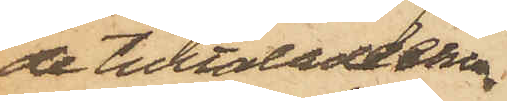de tilltalade ehu¬
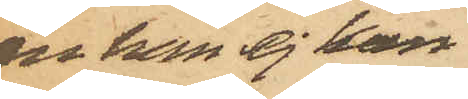ru han ej kan
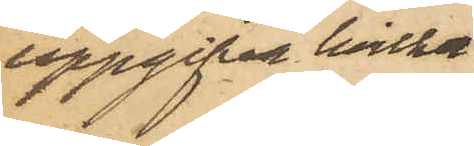uppgifva hvilka
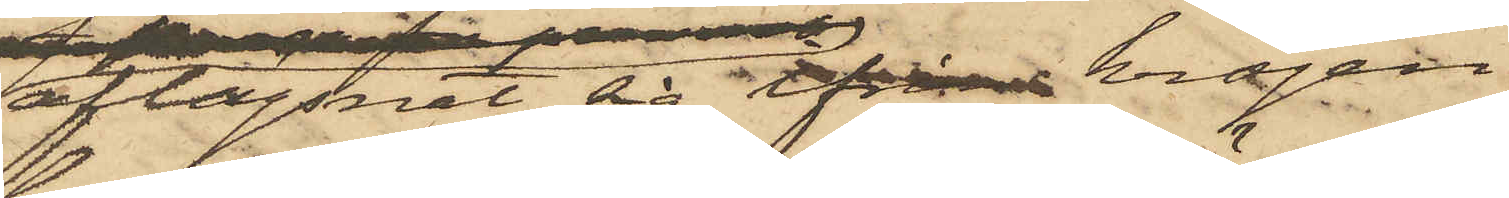aflägsnat sig ifrån krogen
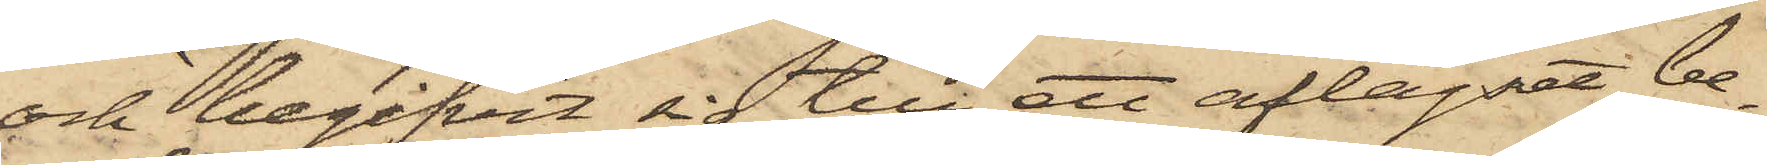och begifvit sig till ett aflägset be¬
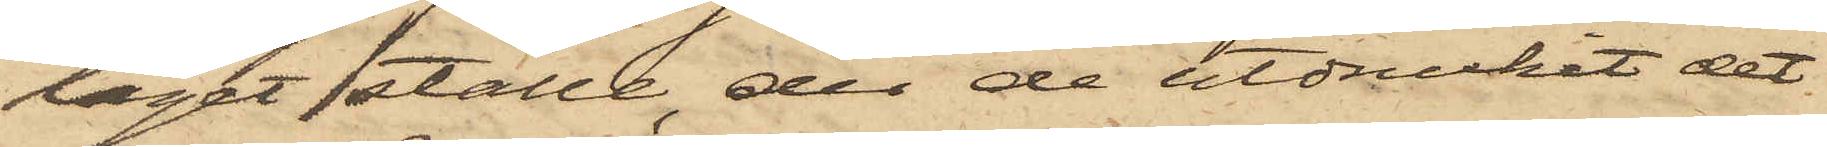läget ställe, der de utdruckit det
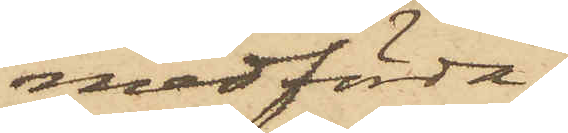medförda.
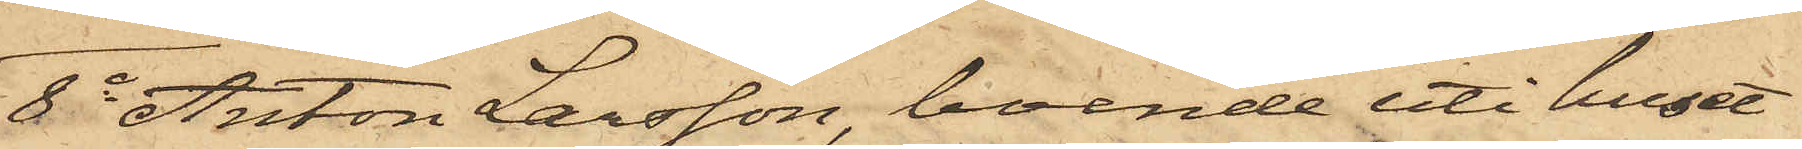8o Anton Larsson, boende uti huset
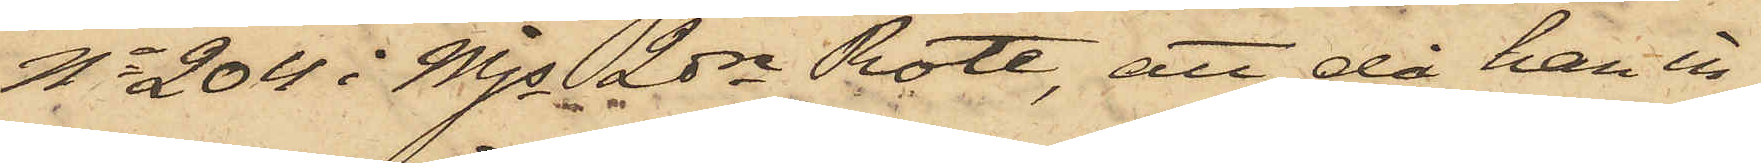No 204 i Mjs 2dre Rote, att då han in¬
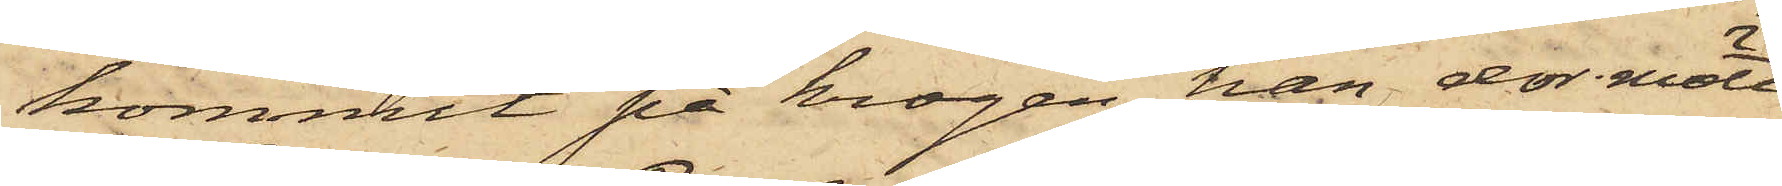kommit på krogen, han der mött
